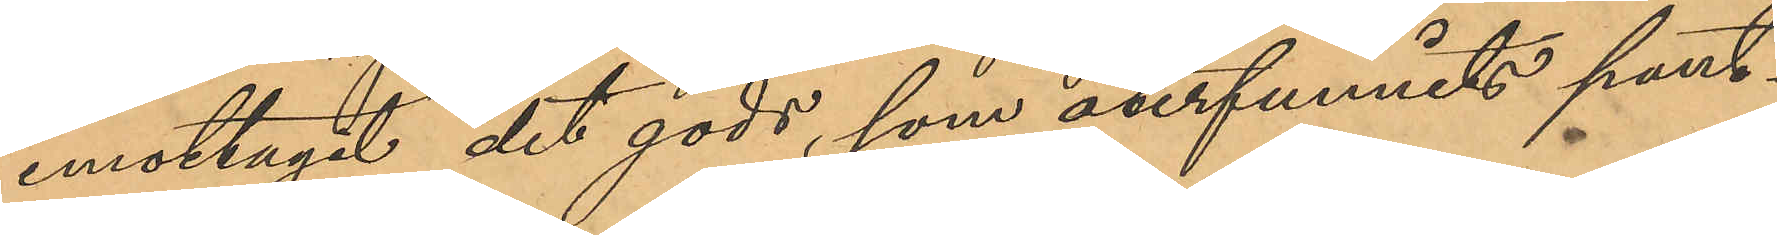emottagit det gods, som återfunnits pant¬
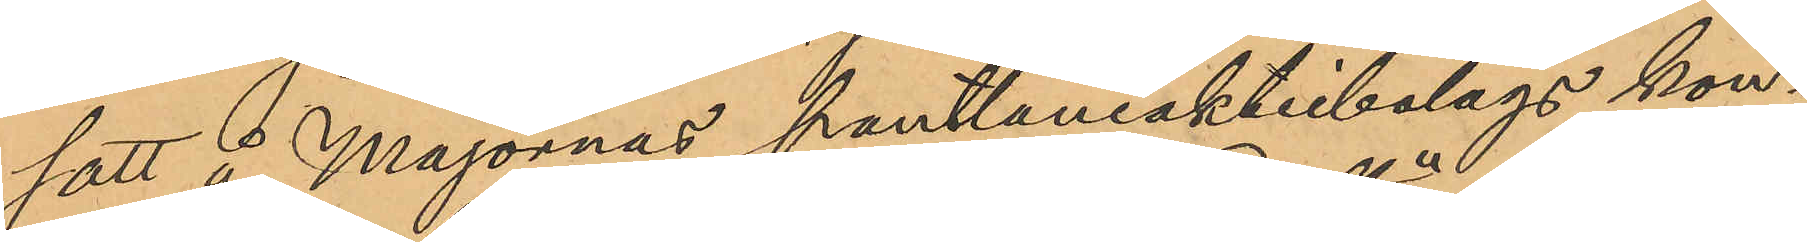satt å Majornas pantlåneaktiebolags kon¬
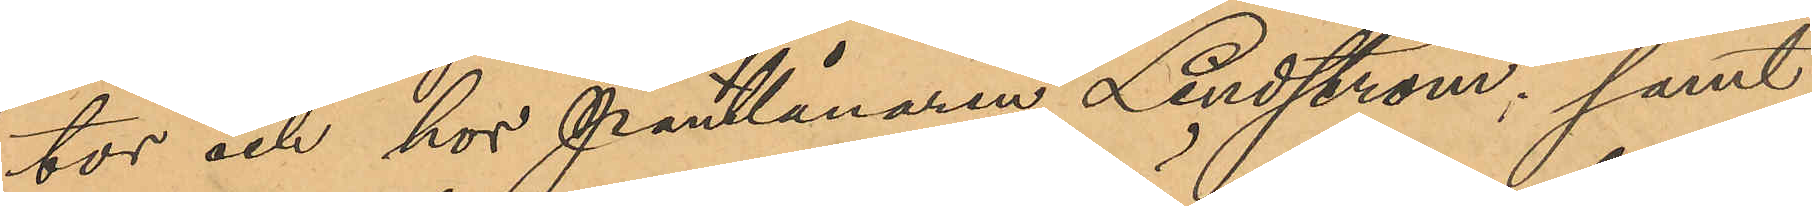tor och hos Pantlånaren Lindström, samt
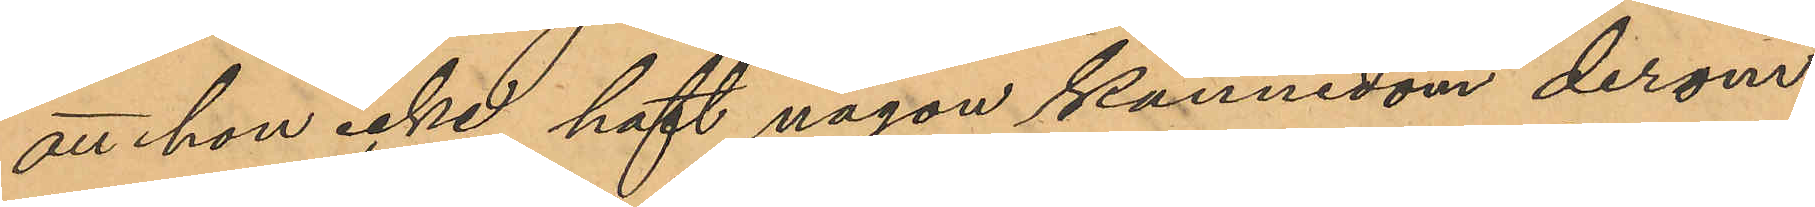att hon icke haft någon kännedom derom
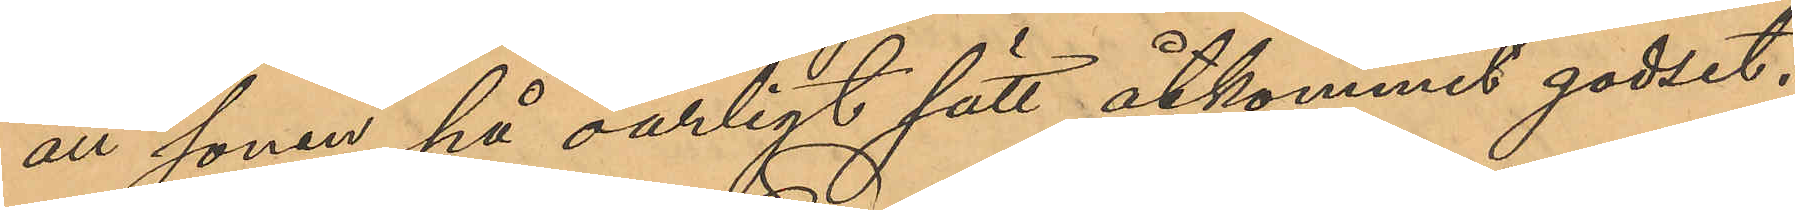att sonen på oärligt sätt åtkommit godset.
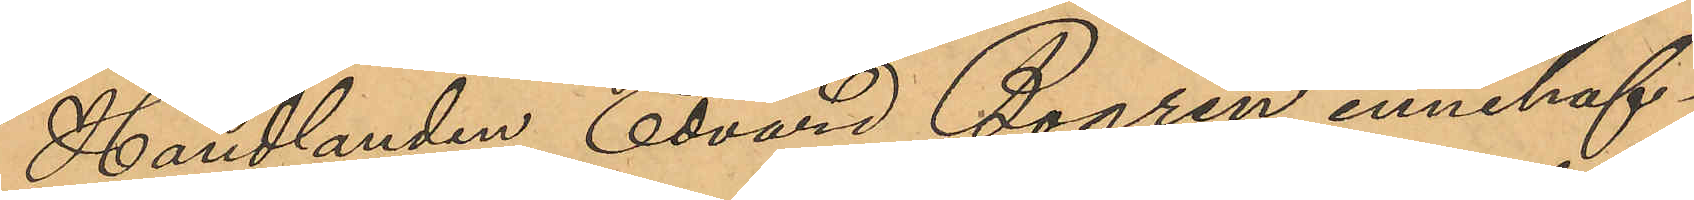Handlanden Edvard Bogren, innehaf¬
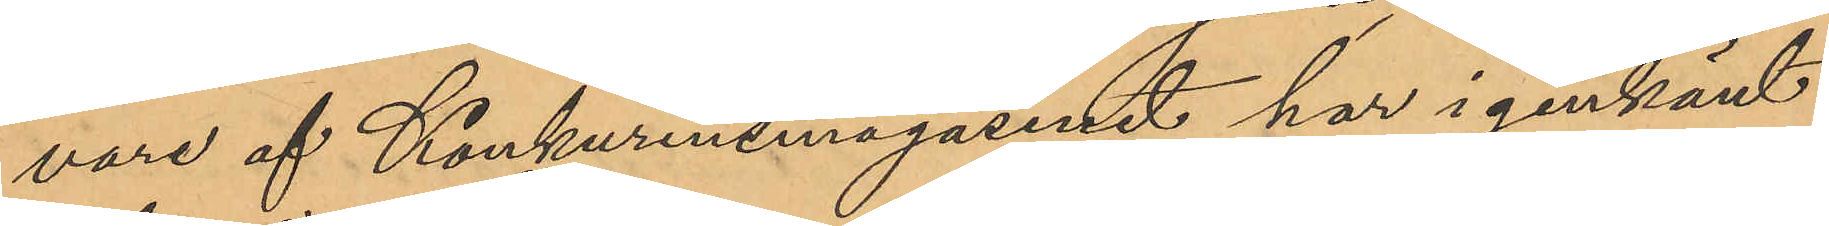vare af Konkurensmagasinet har igenkänt
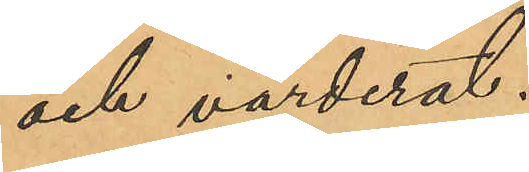och värderat:
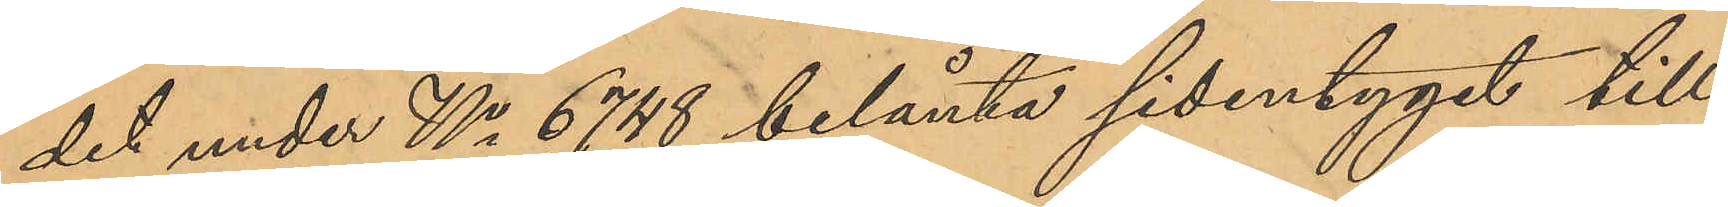det under No 6748 belånta sidentyget till
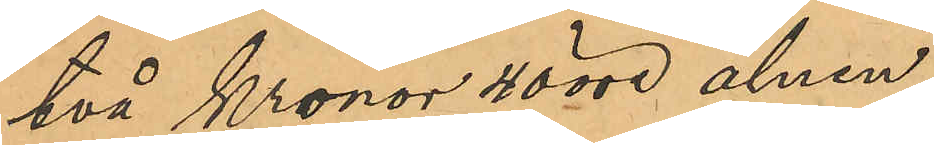två Kronor 40 öre alnen,
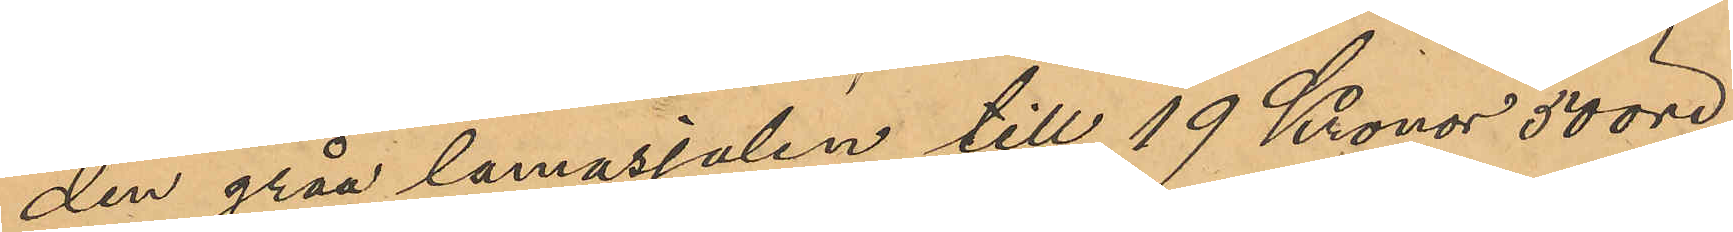den gråa lamasjalen till 19 Kronor 50 öre,
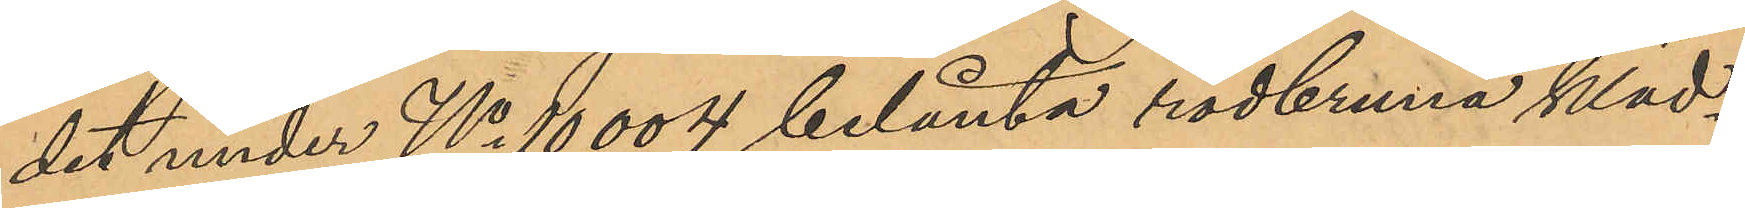det under No 10004 belånta rödbruna kläd¬
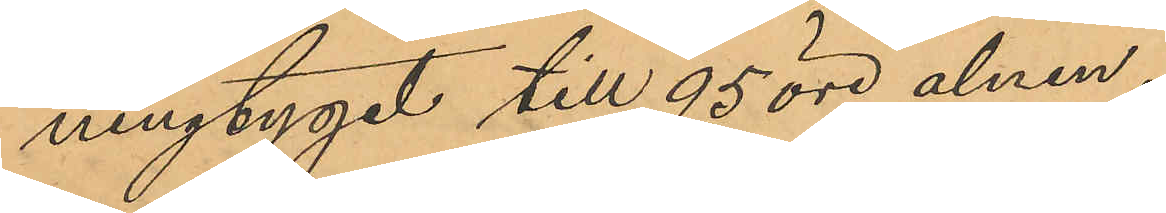ningtyget till 95 öre alnen,
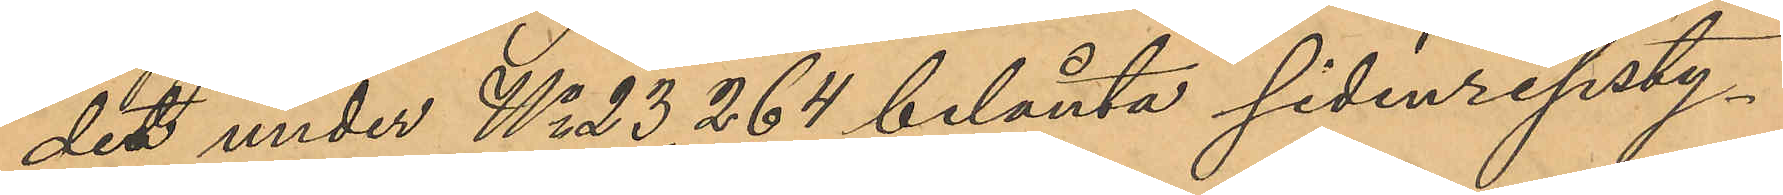det under No 23264 belånta sidenripsty¬
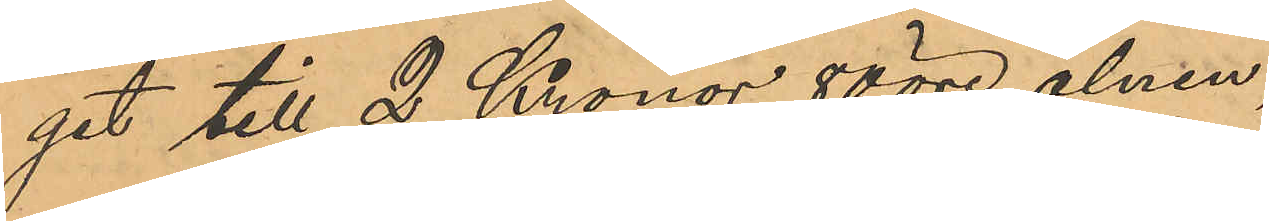get till 2 Kronor 80 öre alnen,
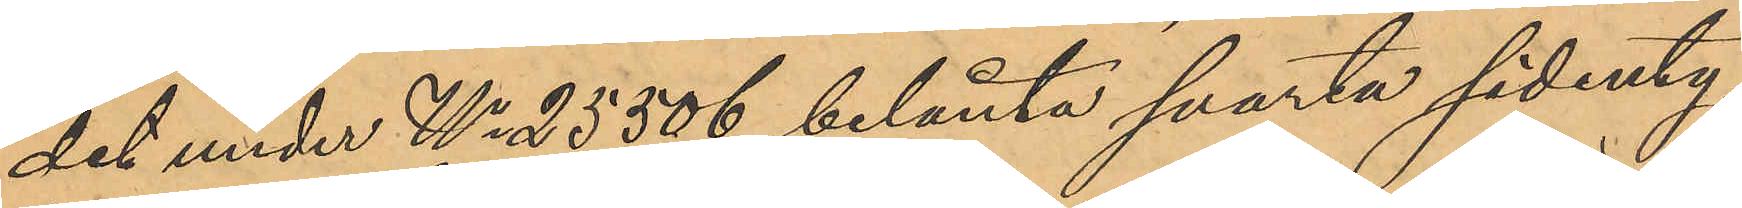det under No 25506 belånta svarta sidenty¬
